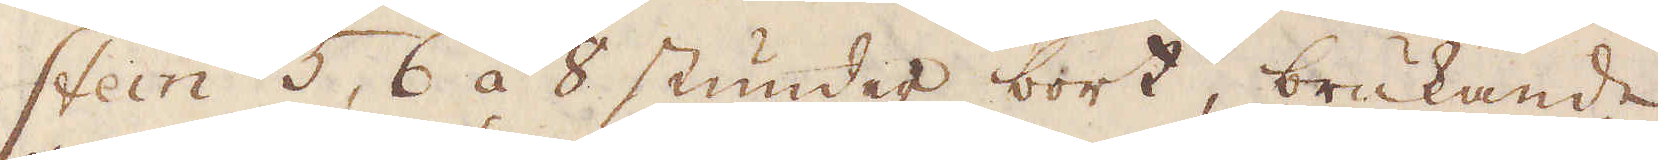stein 5, 6 á 8 stunder bort, brukande
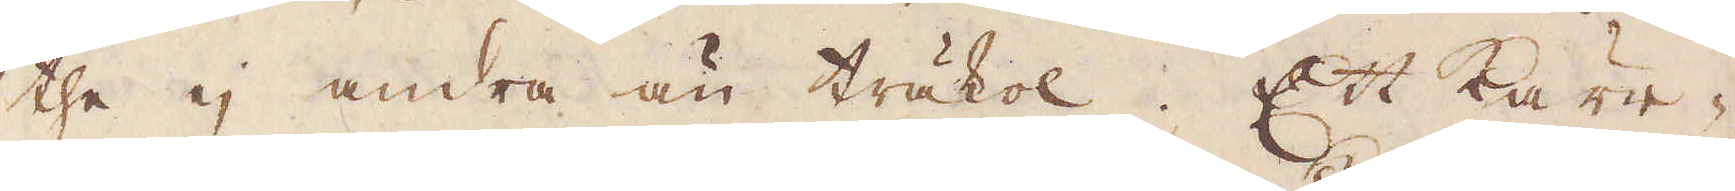the ej andra än träkol. Ett kärr-
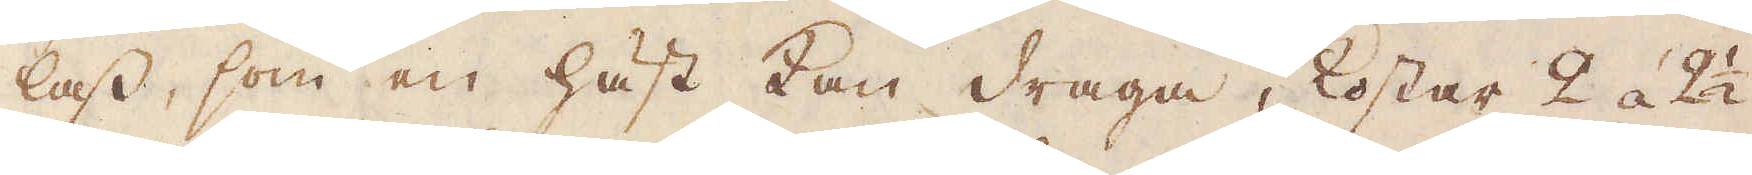lass, som en häst kan draga, kostar 2 á 2 1/2
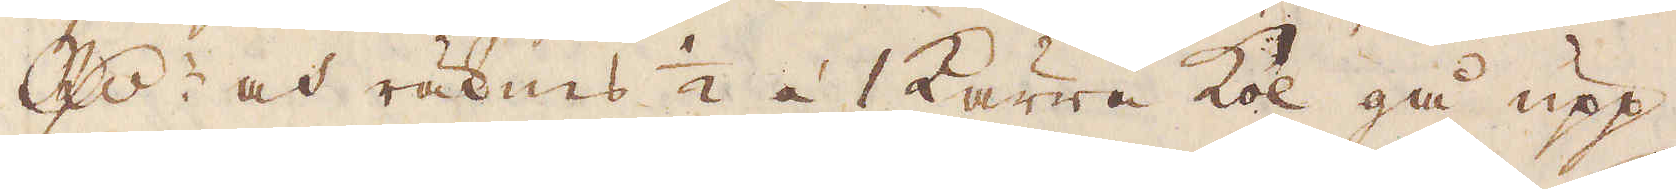R:dr och räknas 1/2 á 1 kärra kol gå upp
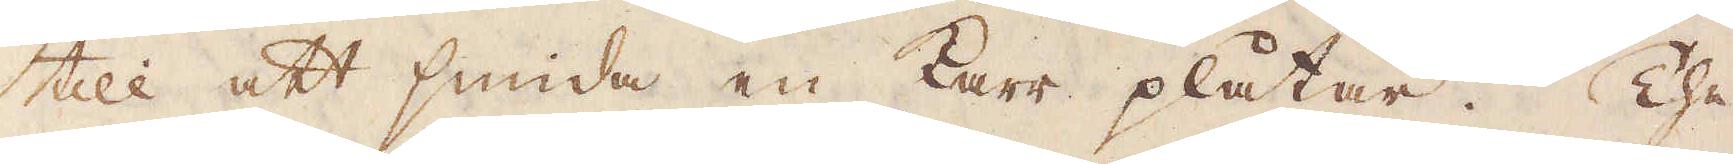till att smida en karr plåtar. The
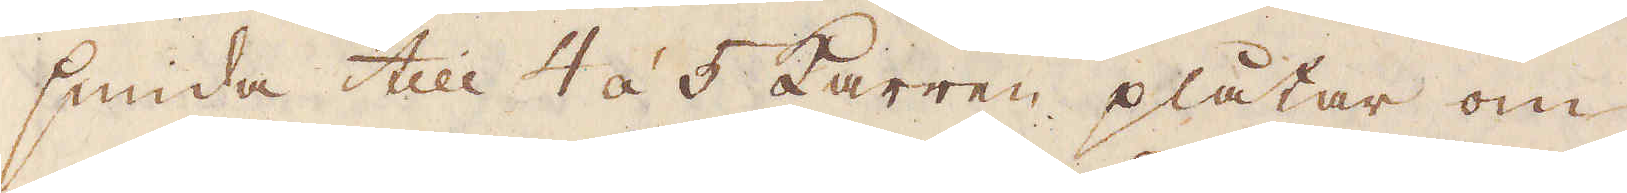smida till 4 á 5 karren plåtar om
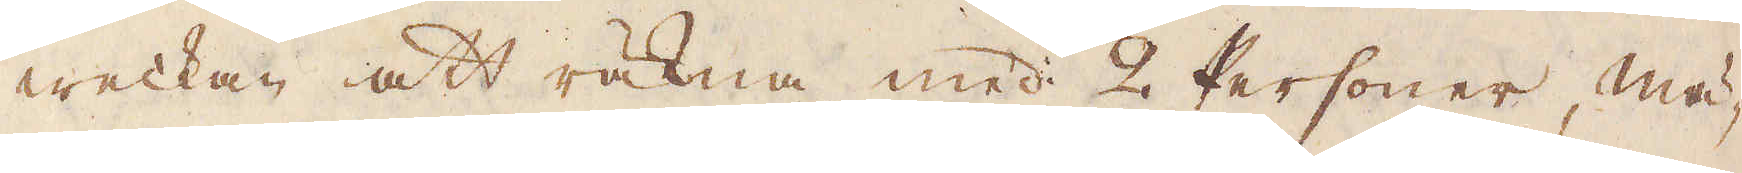weckan att räkna med 2 Personer, mä-
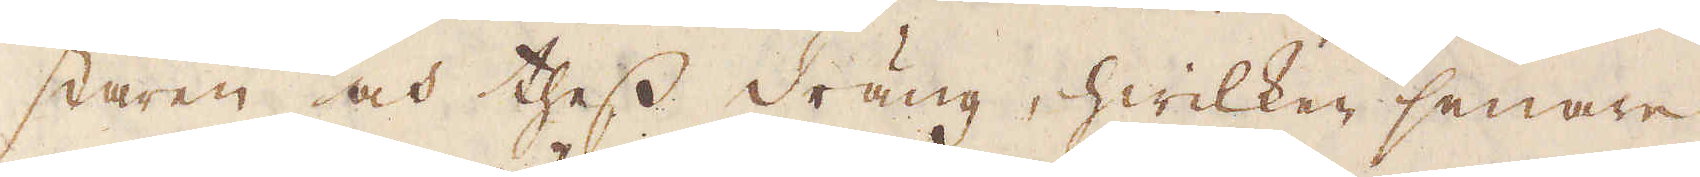staren och thess dräng, hwilken senare
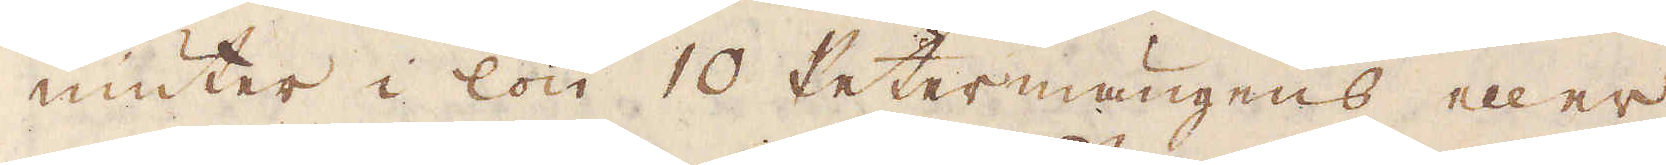niuter i lön 10 Rettermängens eller
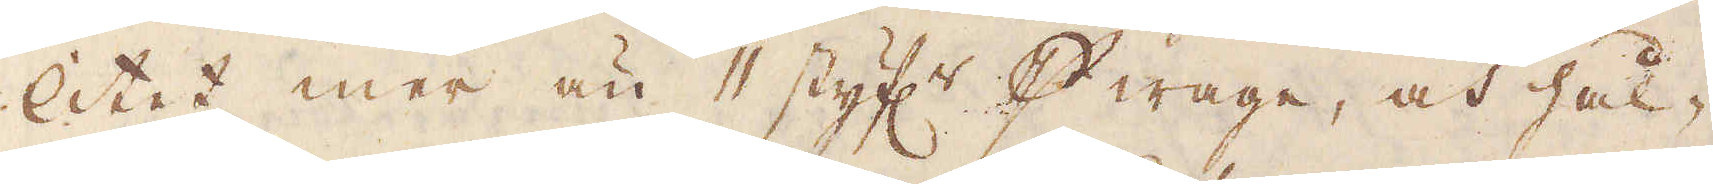litet mer än 11 styf:r p wage, och hål-
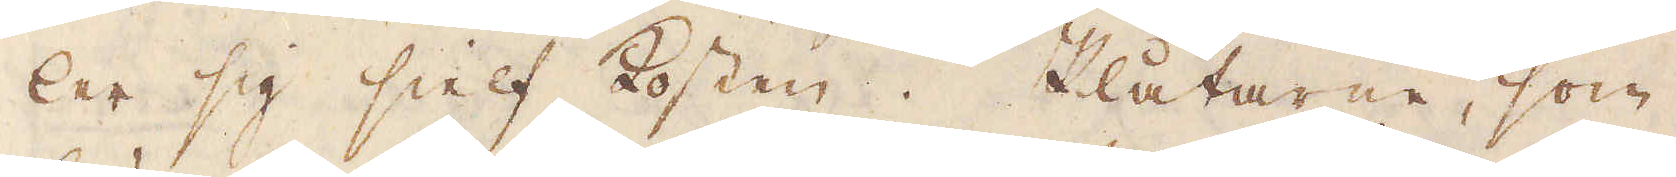ler sig sielf kosten. Plåtarne, som
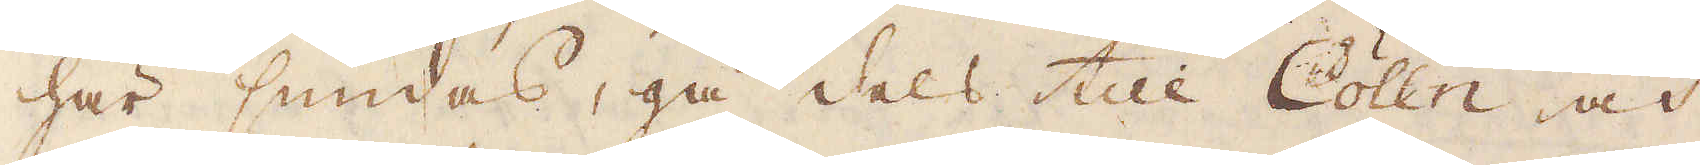här smidas, gå dels till Cölln och
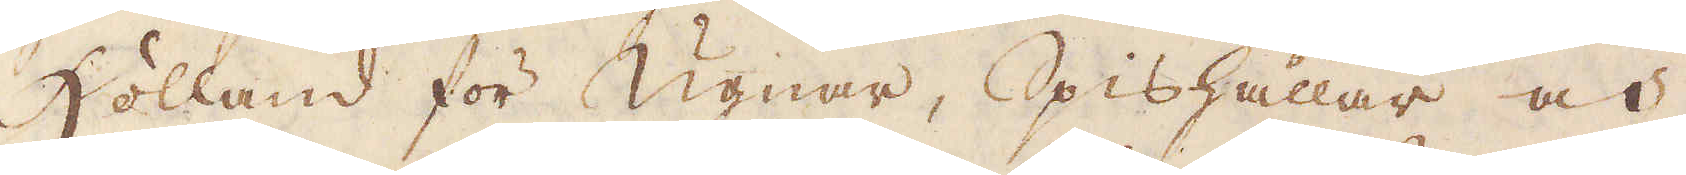Holland för ugnar, Spishällar och
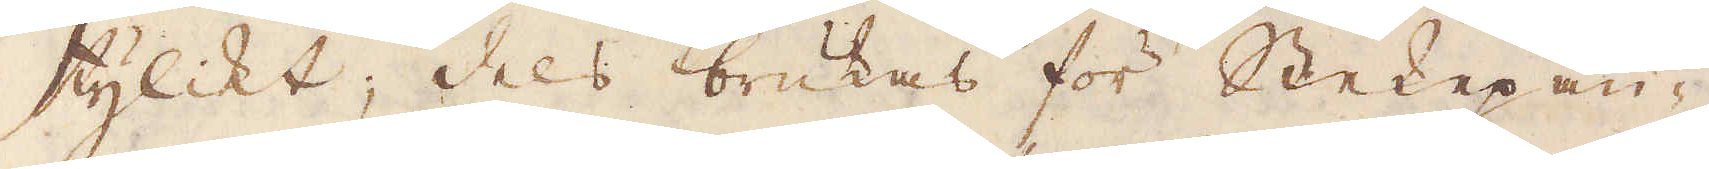stylikt; dels brukas för Stekepan-
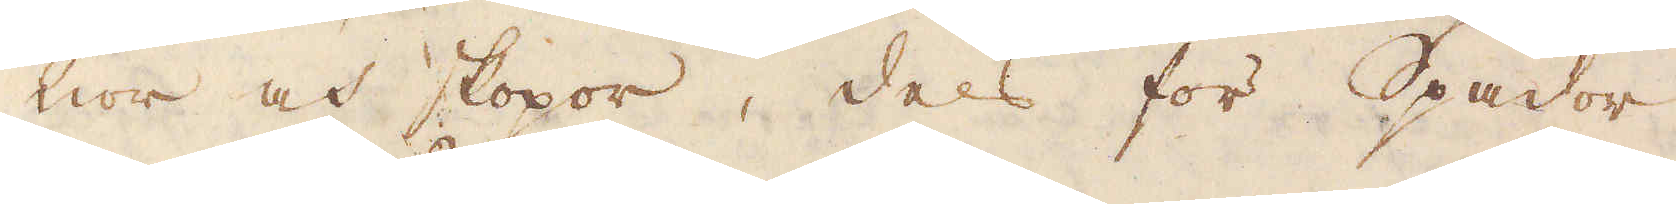nor och skopor, dels för Spador
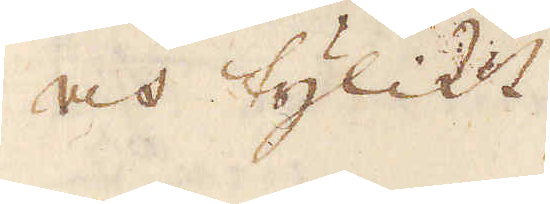och tylikt
